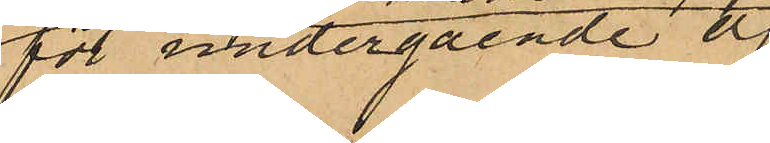för undergående af
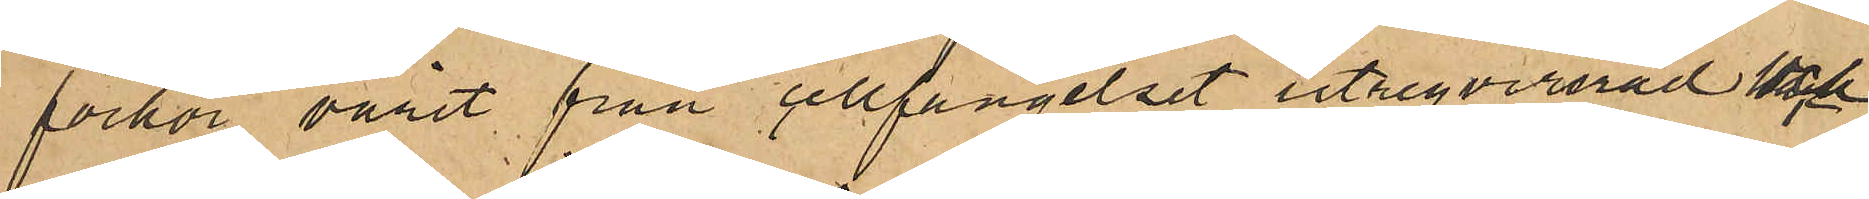förhör varit från cellfängelset utreqvirerad och
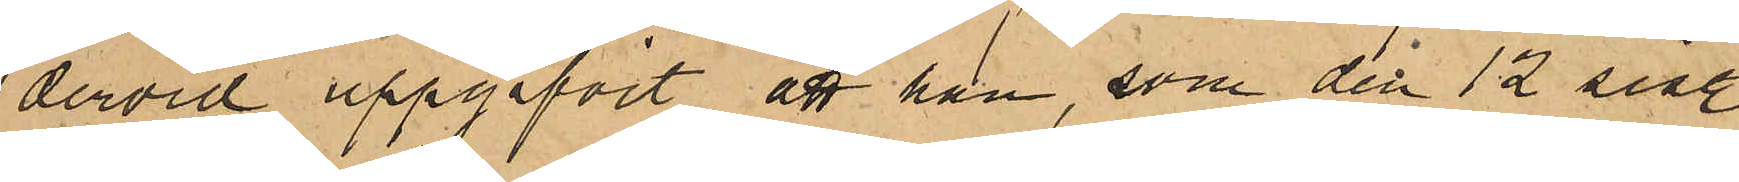dervid uppgifvit, att han, som den 12 sist.
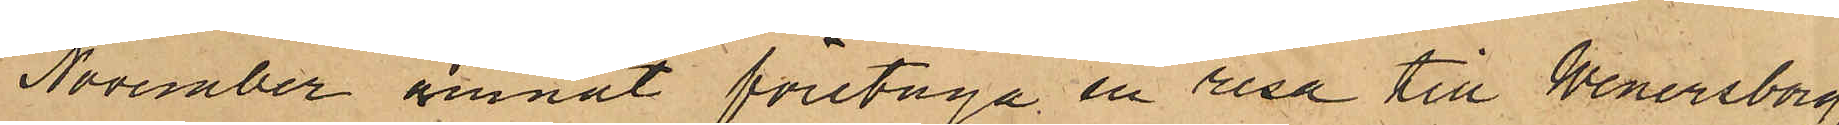November ämnat företaga en resa till Wenersborg,
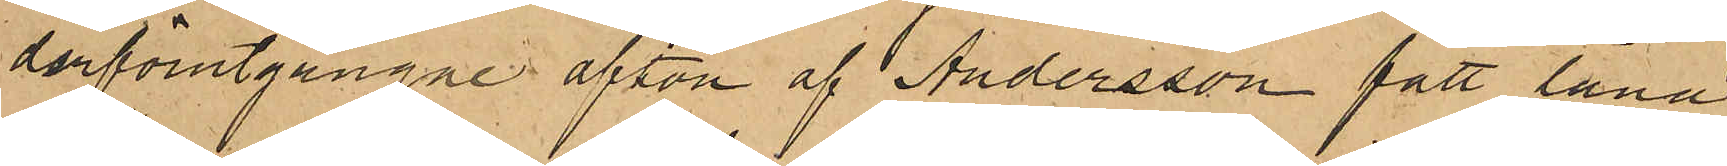derförutgångne afton af Andersson fått låna
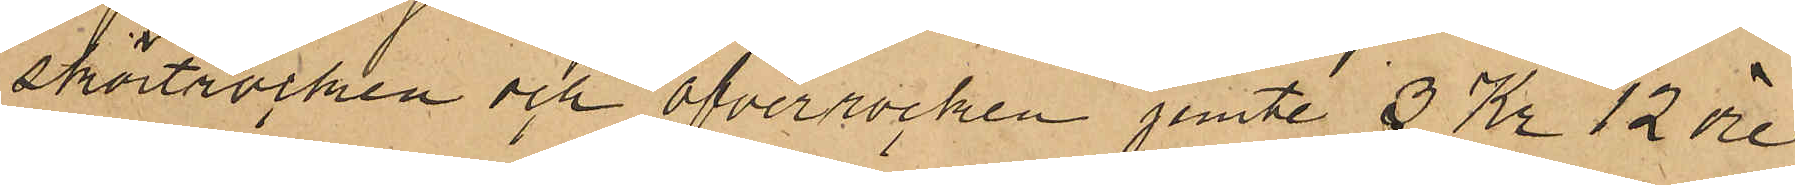skörtrocken och öfverrocken jemte 3 Kr 12 öre,
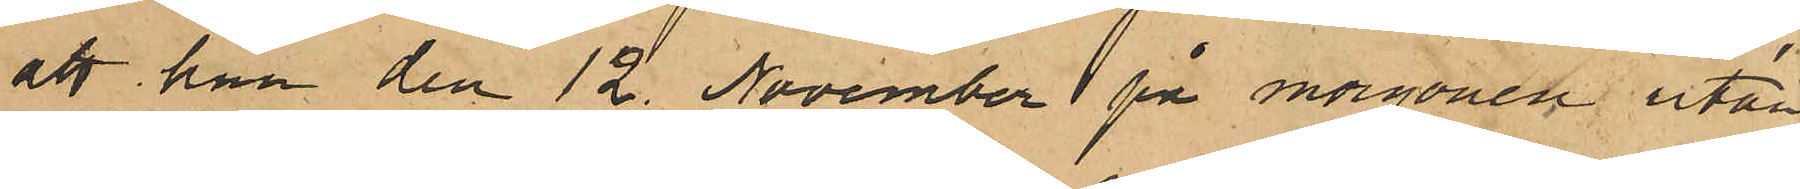att han den 12. November på morgonen utan
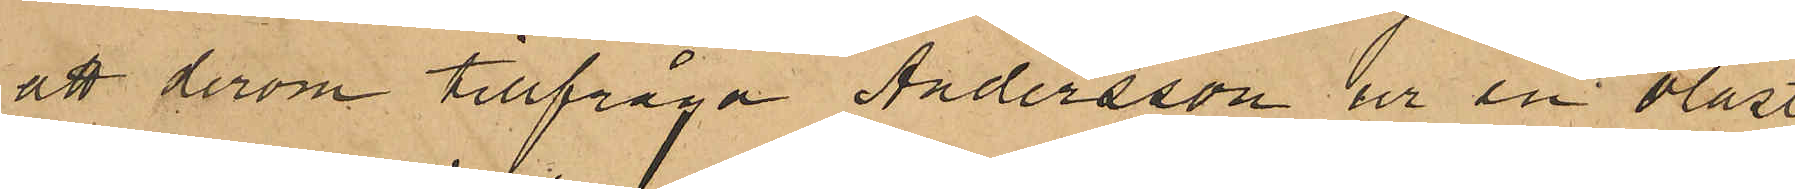att derom tillfråga Andersson ur en olåst
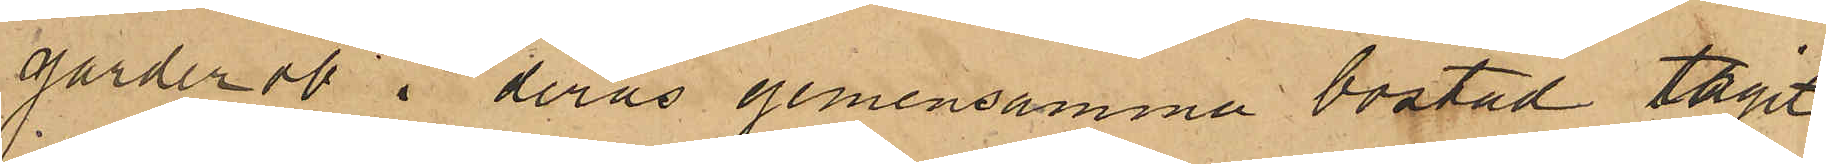garderob i deras gemensamma bostad tagit
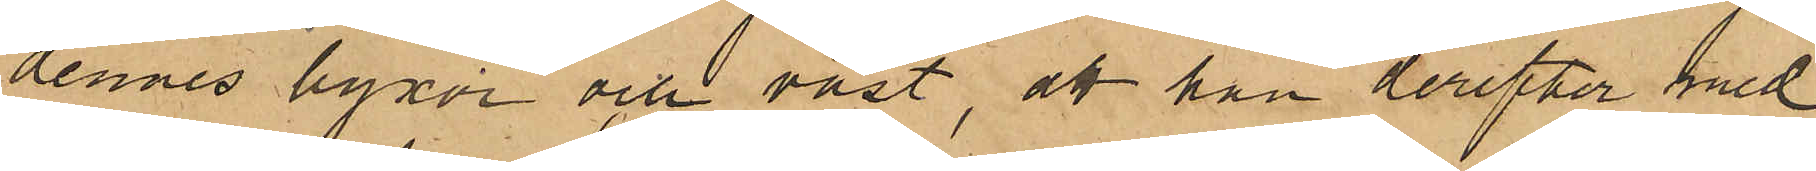dennes byxor och väst, att han derefter med
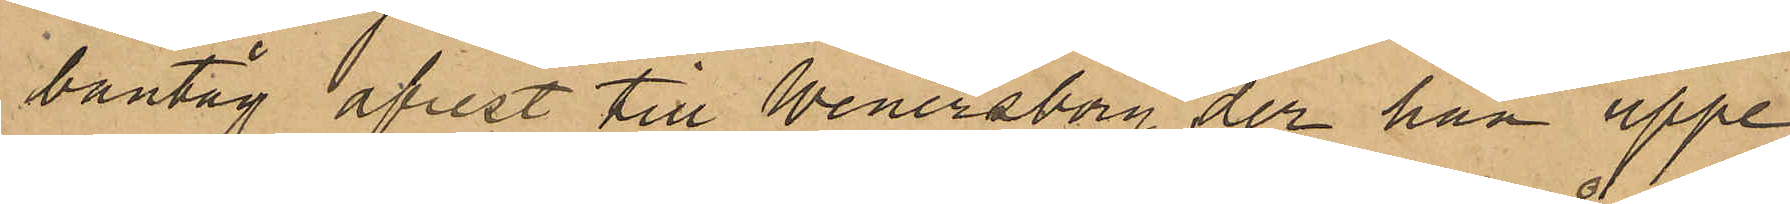bantåg afrest till Wenersborg der han uppe¬
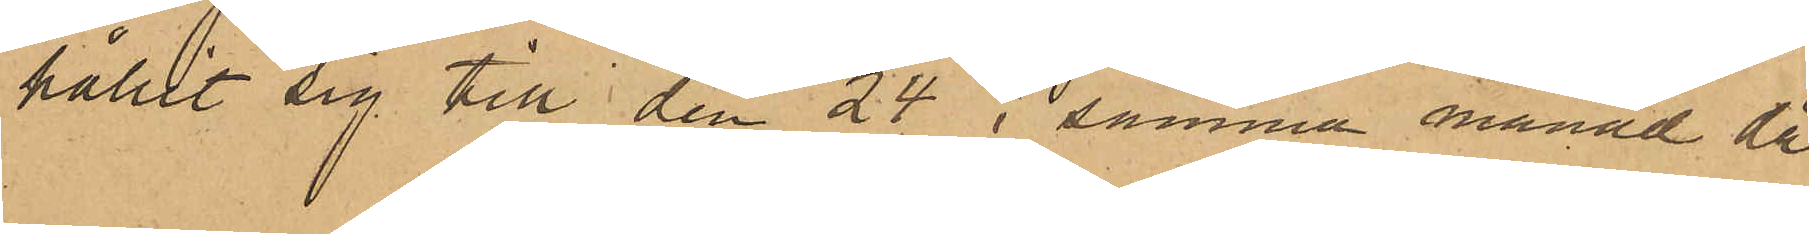hållit sig till den 24 i samma månad då
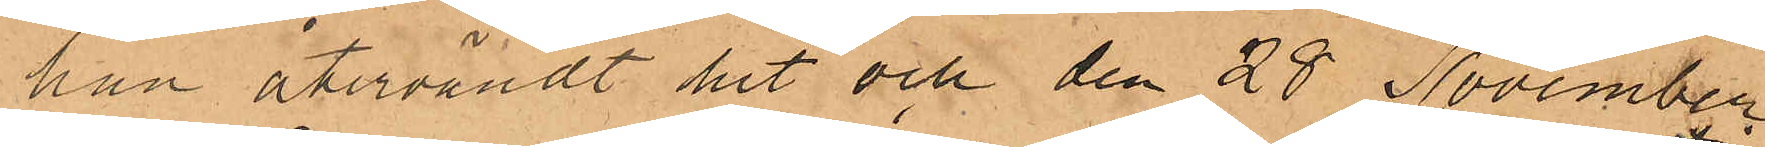han återvändt hit och den 28 November
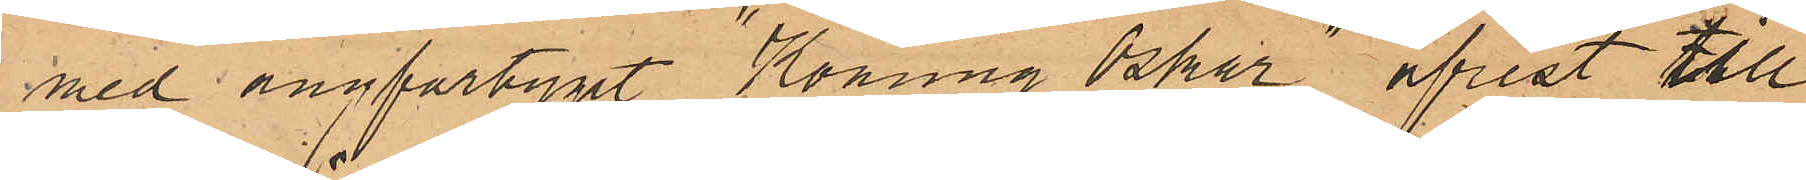med ångfartyget "Konung Oskar" afrest till
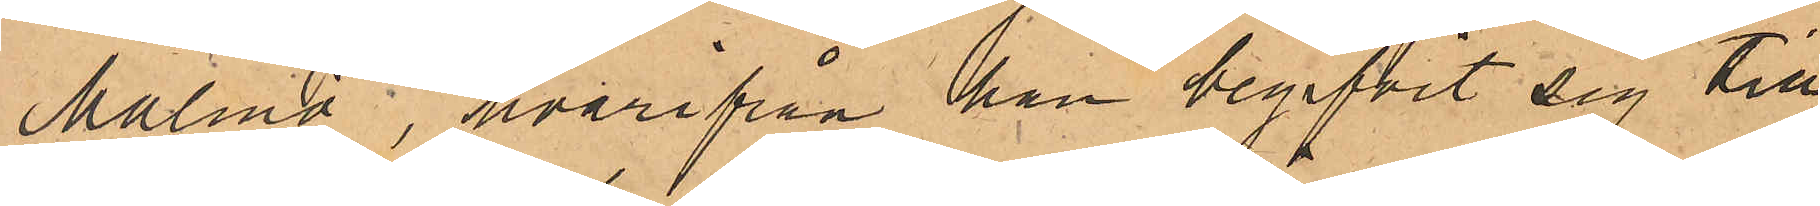Malmö, hvarifrån han begifvit sig till
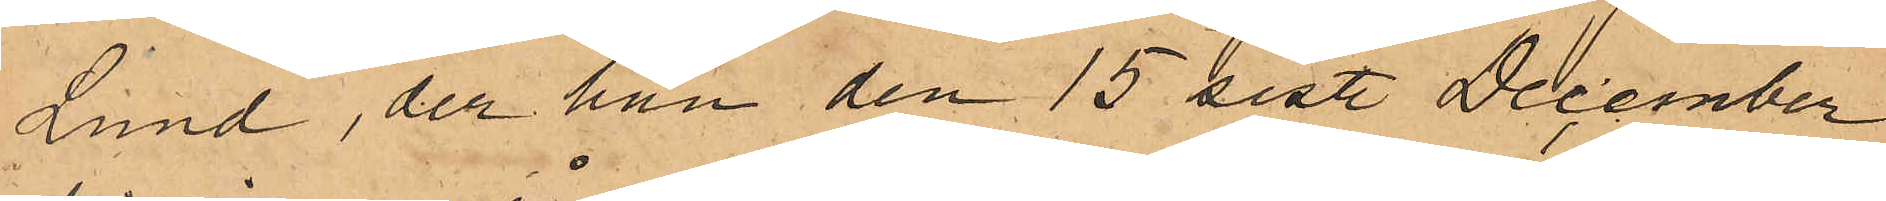Lund, der han den 15 sist. December
